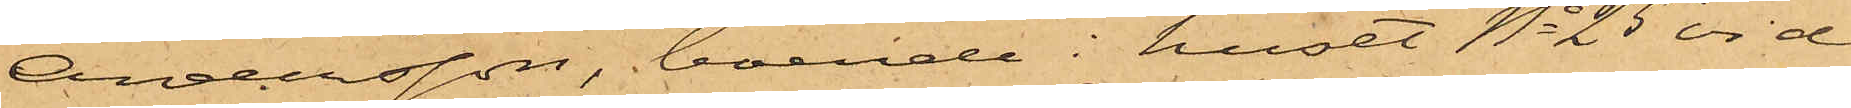Andersson, boende i huset No 25 vid
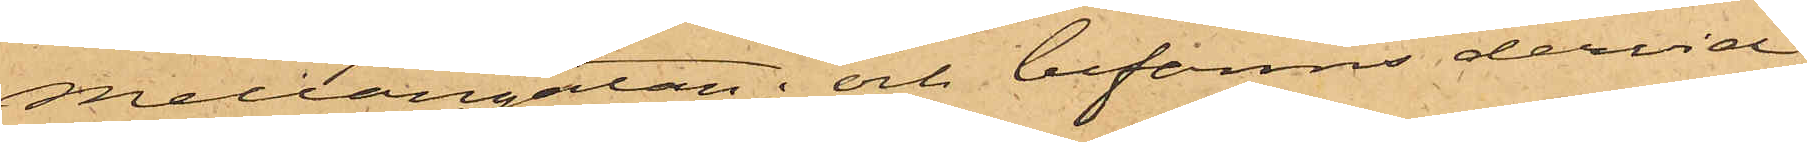Mellangatan; och befanns dervid
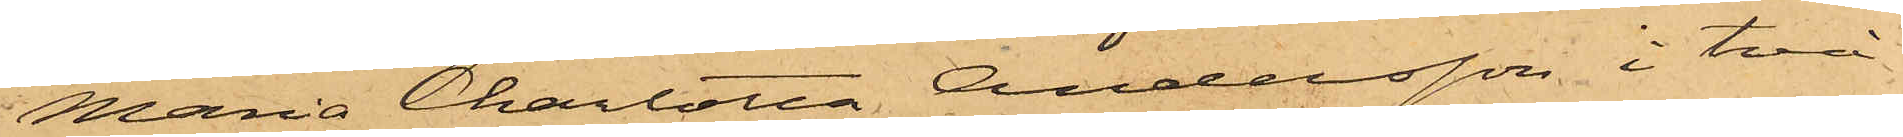Maria Charlotta Andersson i två
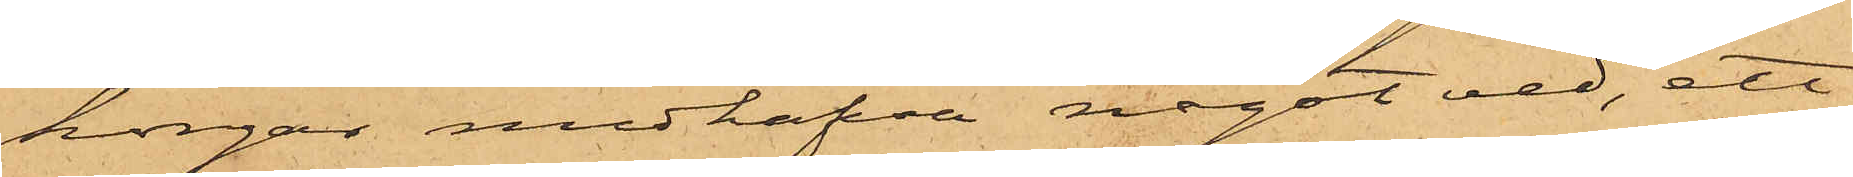korgar medhafva något ved, ett
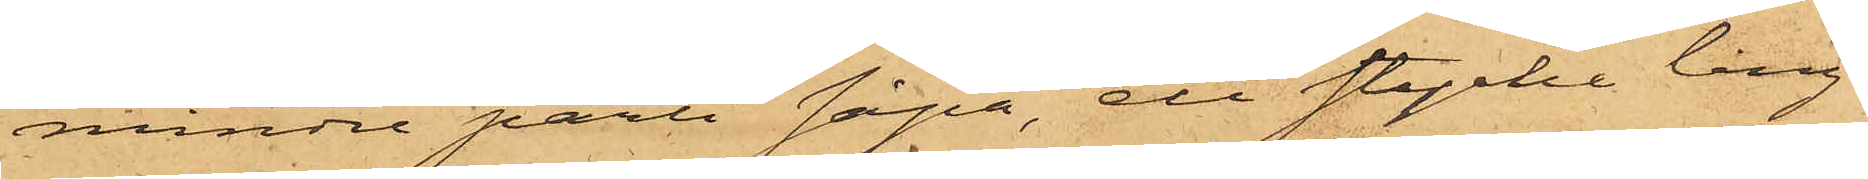mindre parti såpa, ett stycke lång¬
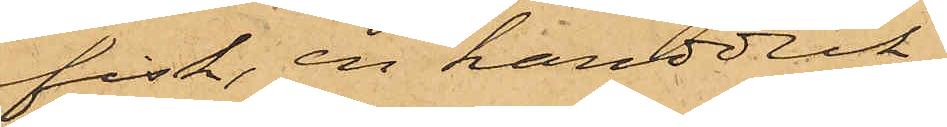fisk, en handduk,
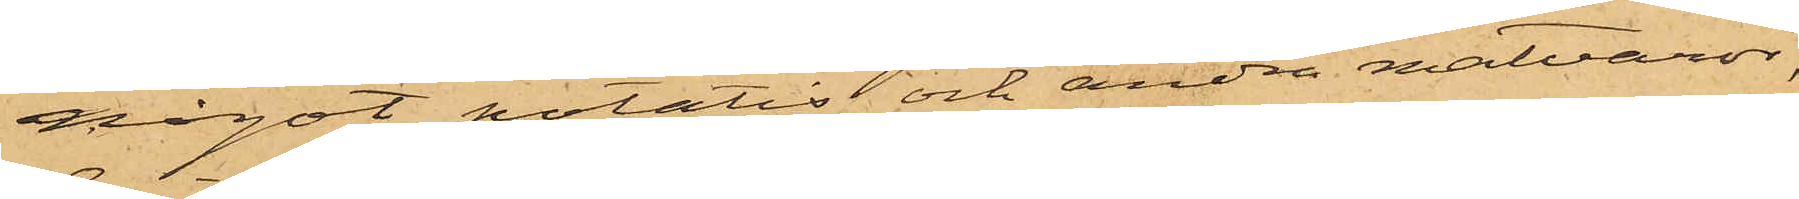något potatis och andra matvaror,
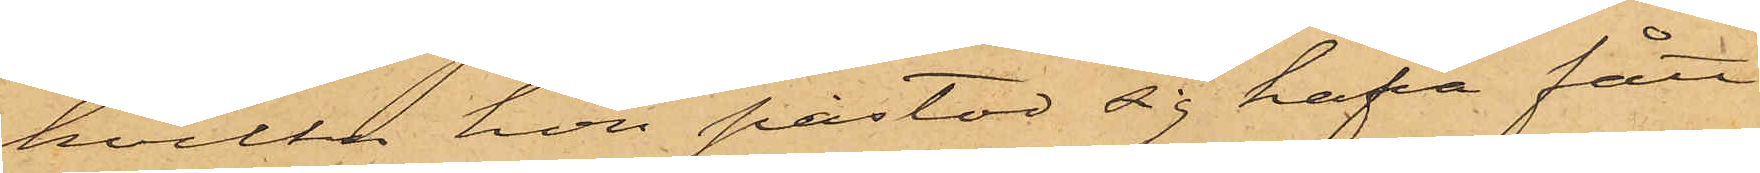hvilka hon påstod sig hafva fått
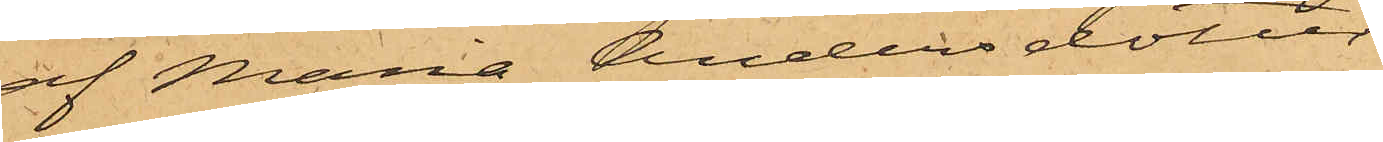af Maria Andersdotter.
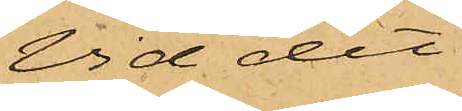Vid det
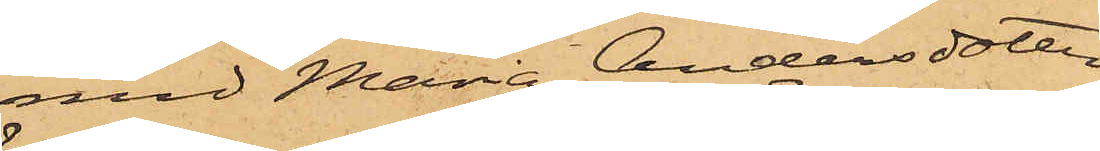med Maria Andersdotter
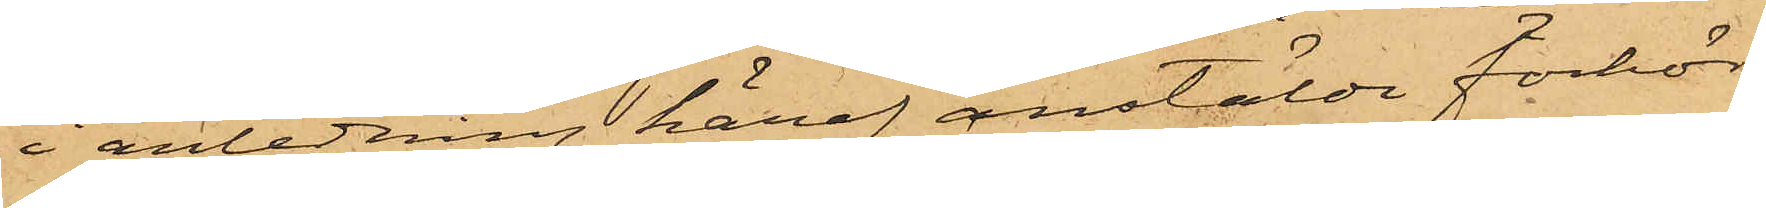i anledning häraf anstälda förhör
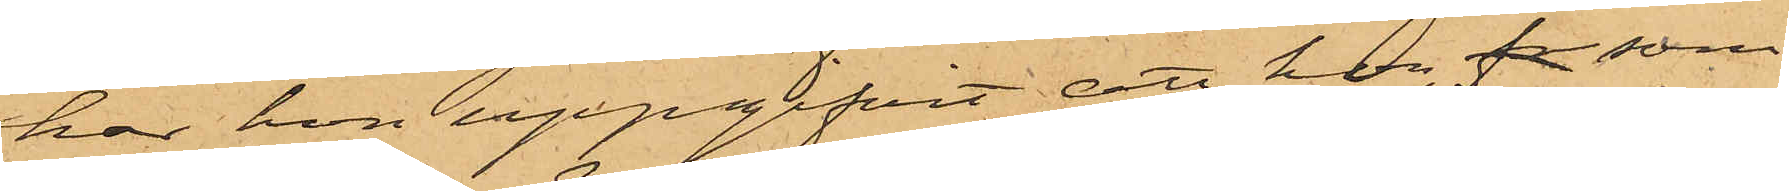har hon uppgifvit, att hon, fr som
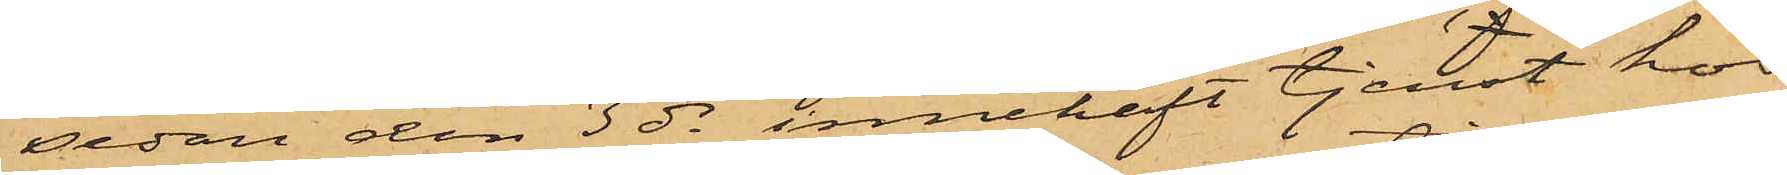sedan den 3 ds innehaft tjenst hos
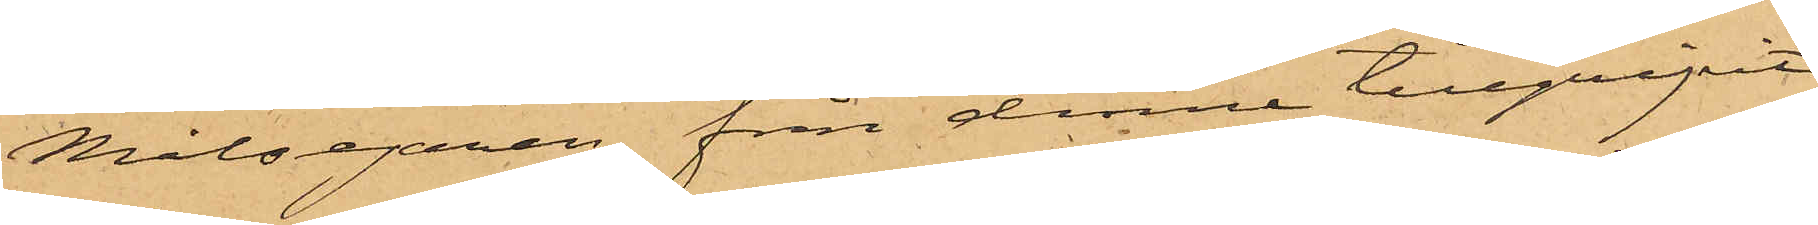Målsegaren från denne tillgripit
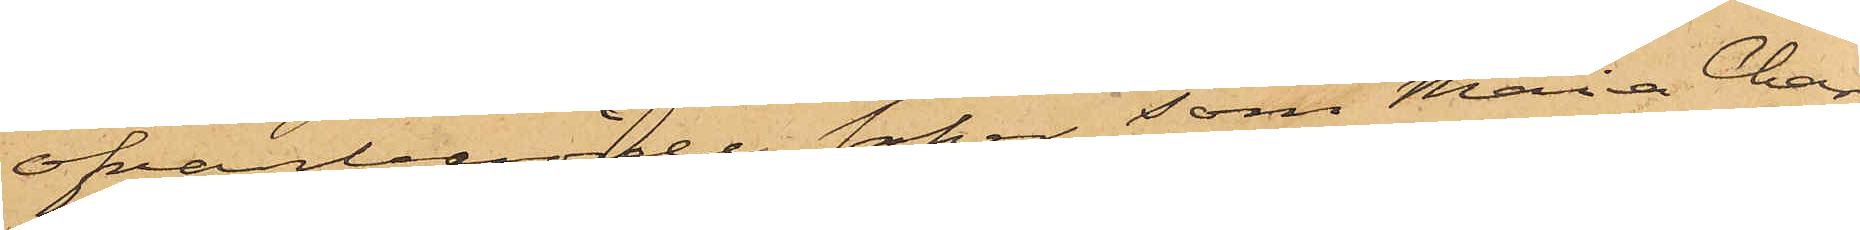ofvanberörde saker, som Maria Char¬
